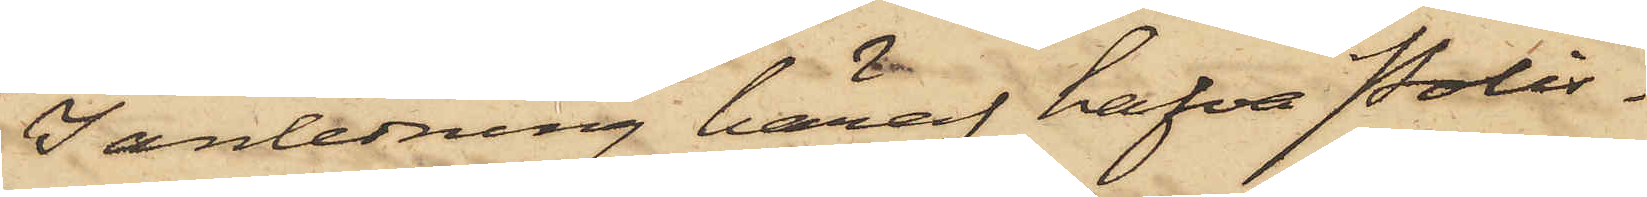I anledning häraf hafva Polis¬
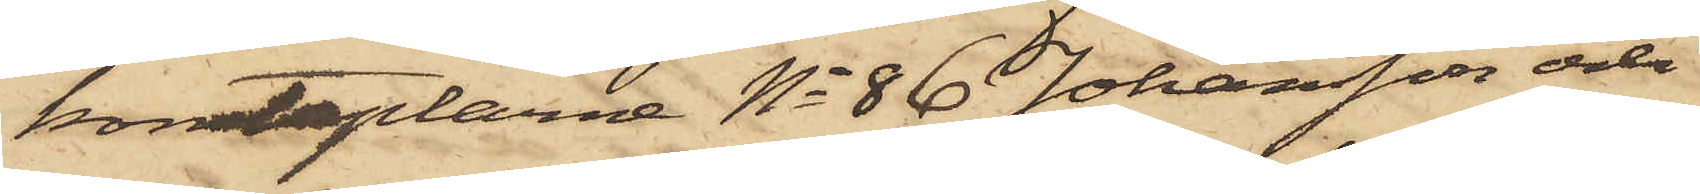konstaplarne No 86 Johansson och
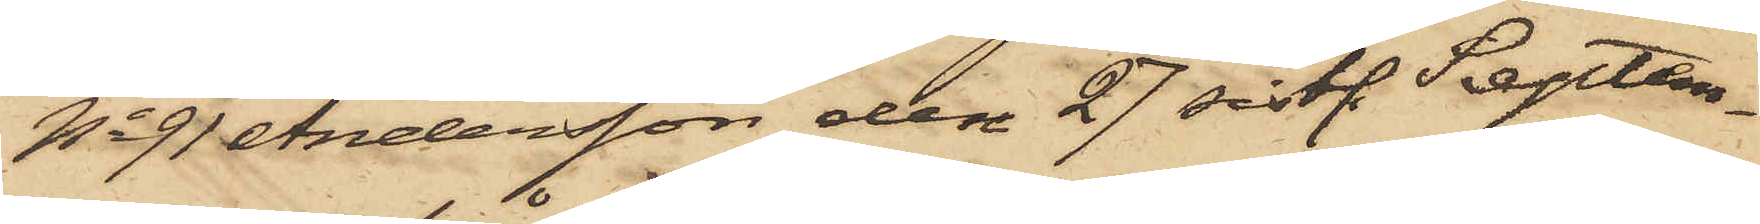No 91 Andersson den 27 sistl. Septem¬
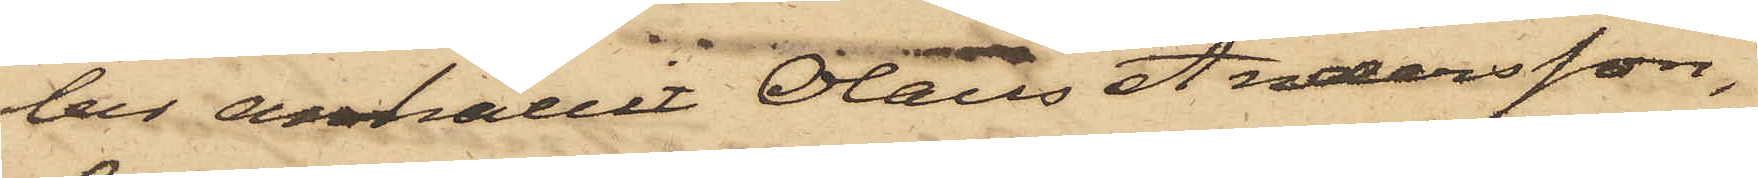ber anhållit Olaus Andersson,
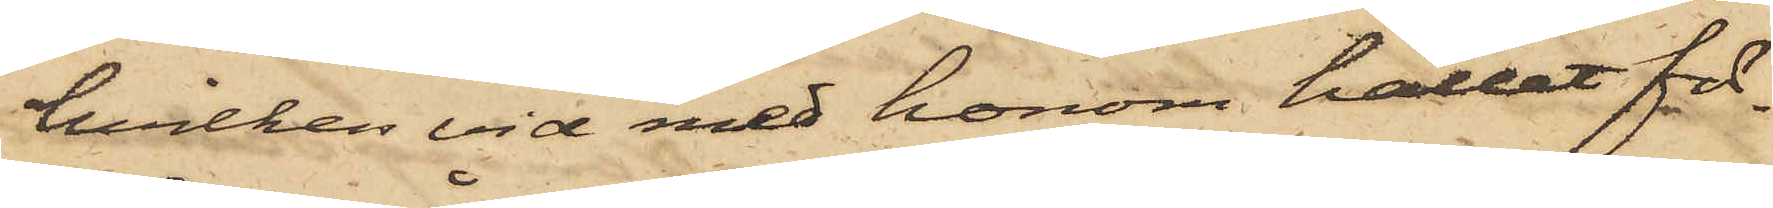hvilken vid med honom hållet för¬
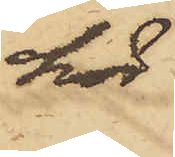hör
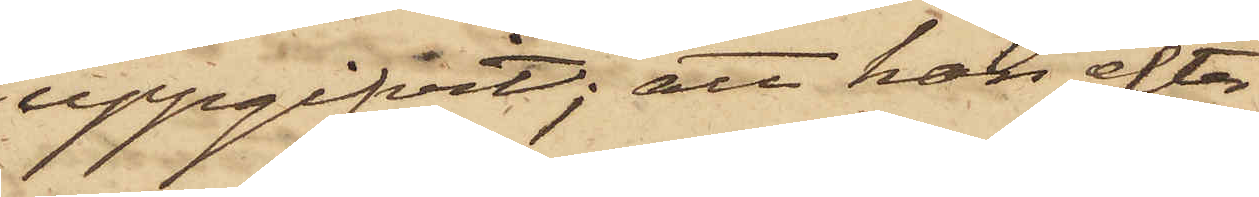uppgifvit; att han efter
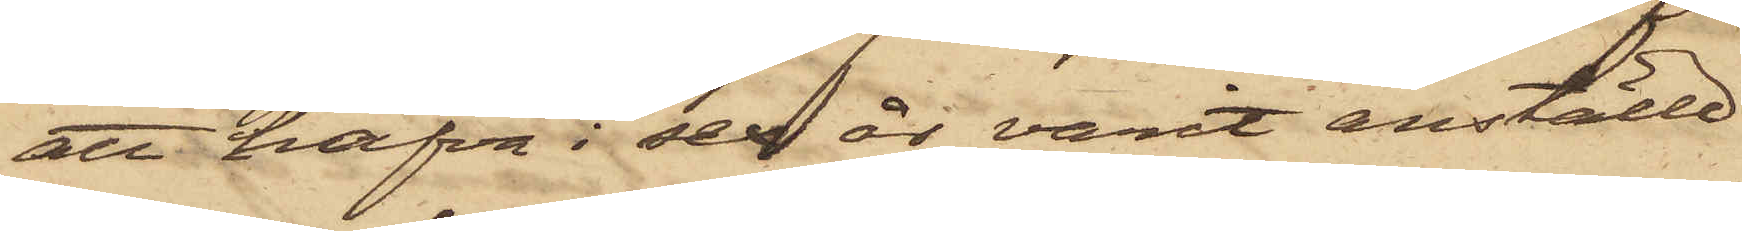att hafva i sex år varit anställd
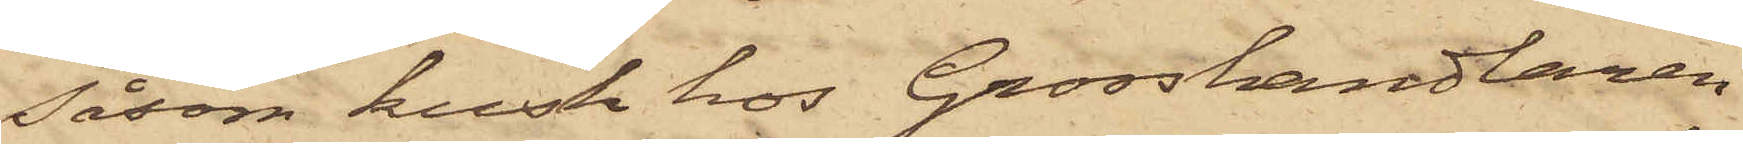såsom kusk hos Grosshandlaren
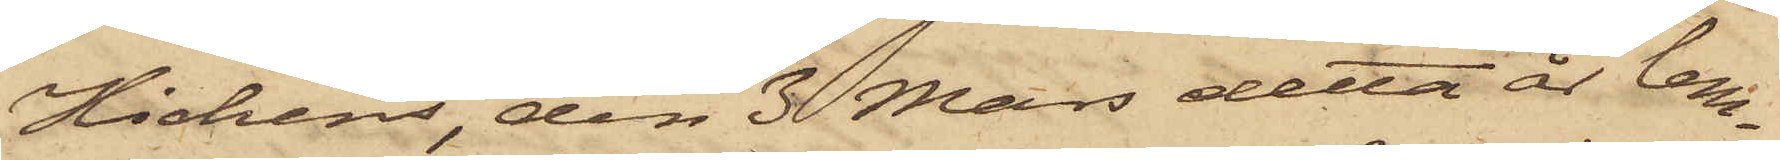Hichens, den 3 Mars detta år lem¬
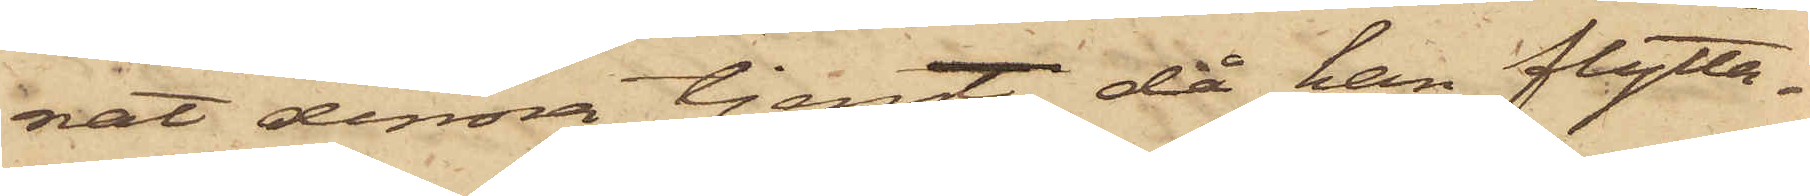nat denna tjenst, då han flytta¬
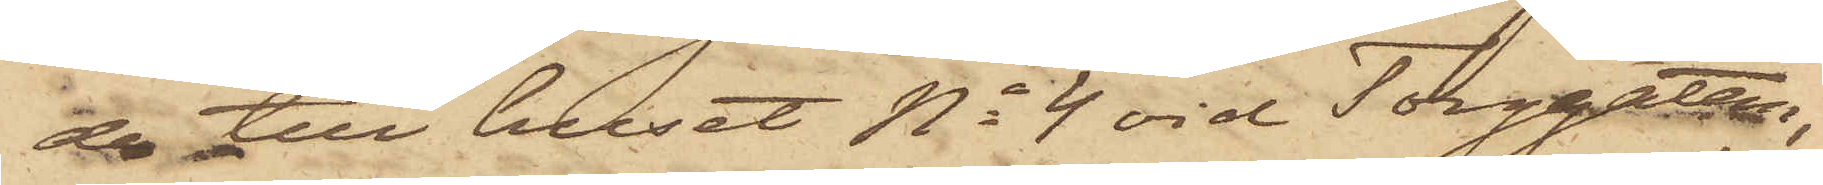de till huset No 4 vid Torggatan,
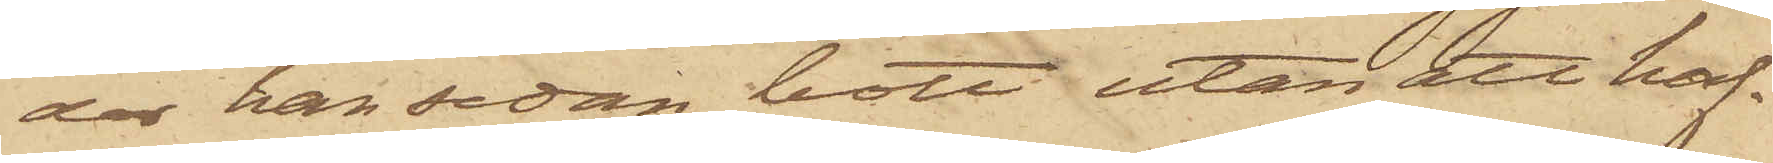der han sedan bott utan att haf¬
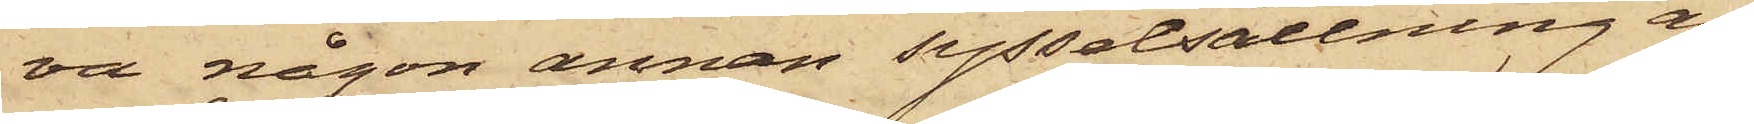va någon annan sysselsättning än
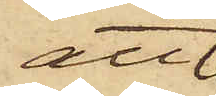att
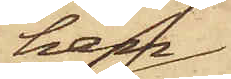han
